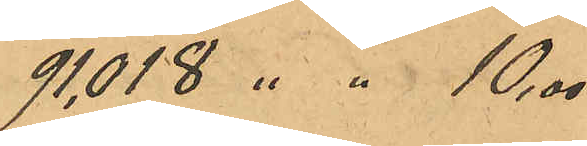91,018 " " 10,00
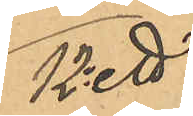12o ett
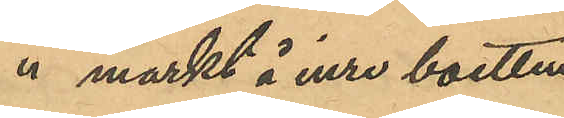" märkt å inre botten
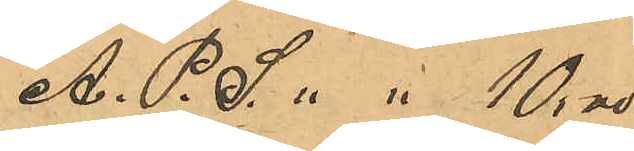A. P. S. " " 10,00
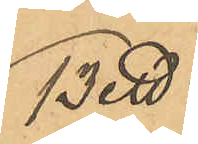13o ett
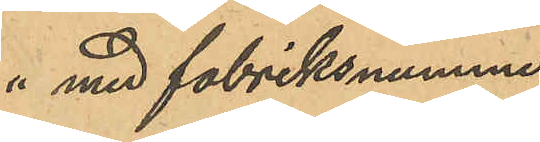" med fabriksnummer 
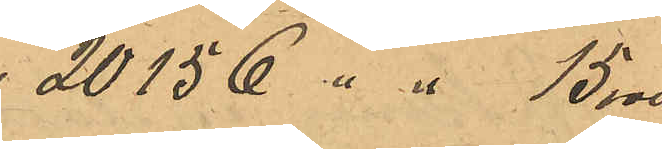20156 " " 15,00
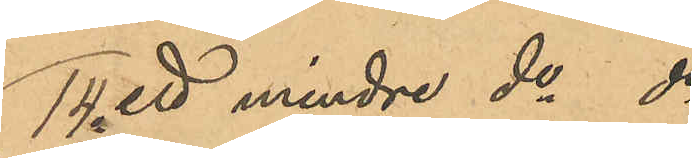14o ett mindre do do
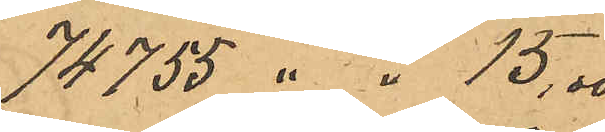74755 " " 15,00
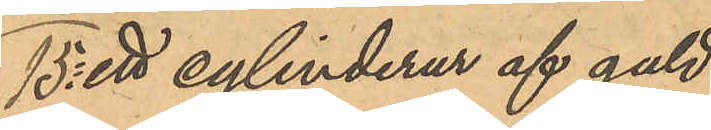15o ett cylinderur af guld
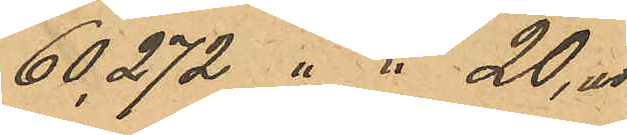60,272 " " 20,00
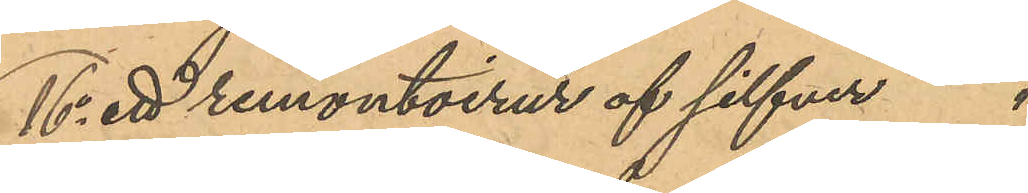16o ett remontoirur af silfver "
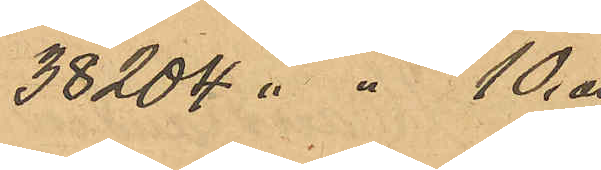38204 " " 10,00
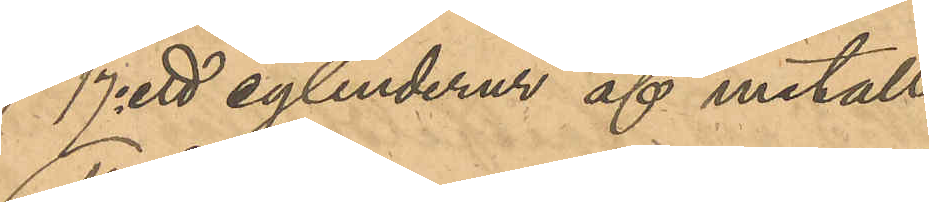17o ett cylinderur af metall
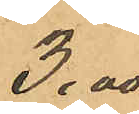3,00
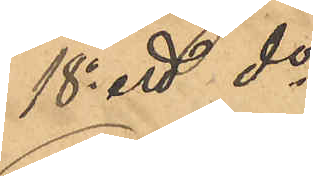18o ett do
